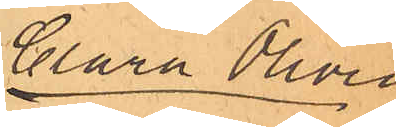Clara Olivia
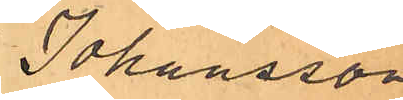Johansson
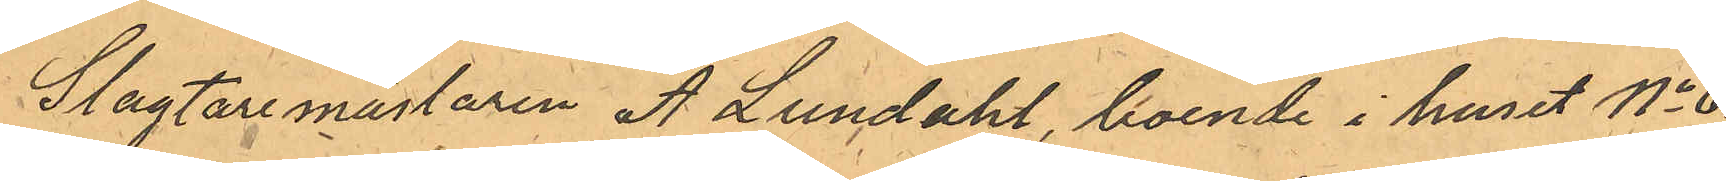Slagtaremästaren A Lundahl, boende i huset No 63
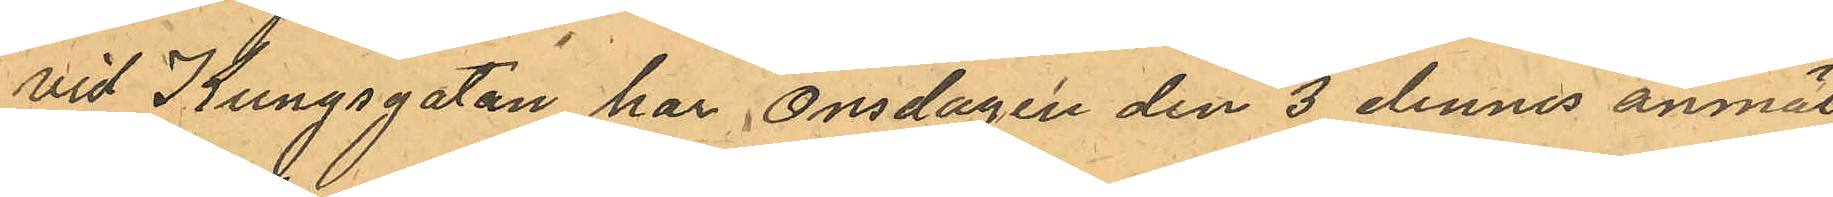vid Kungsgatan har Onsdagen den 3 dennes anmält,
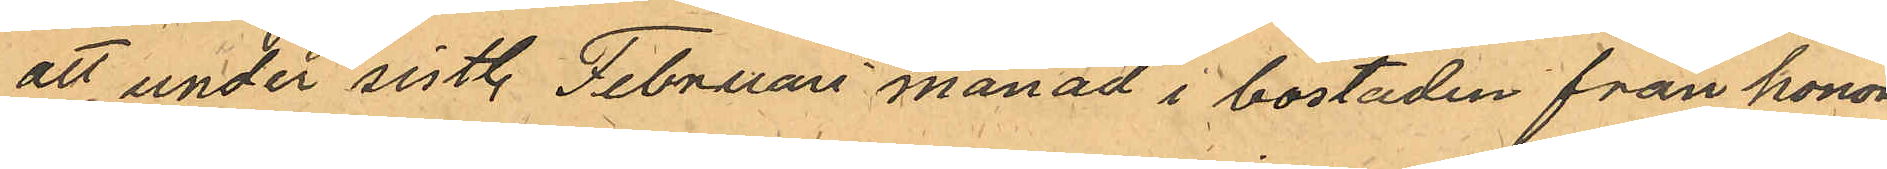att under sistl. Februari månad i bostaden från honom
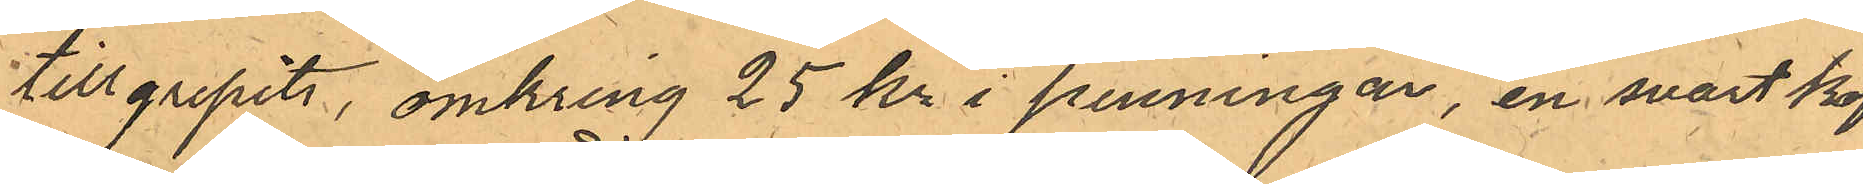tillgripits, omkring 25 kr i penningar, en svart kof¬
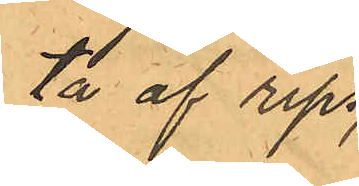ta af rips
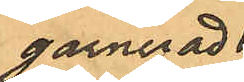garnerad
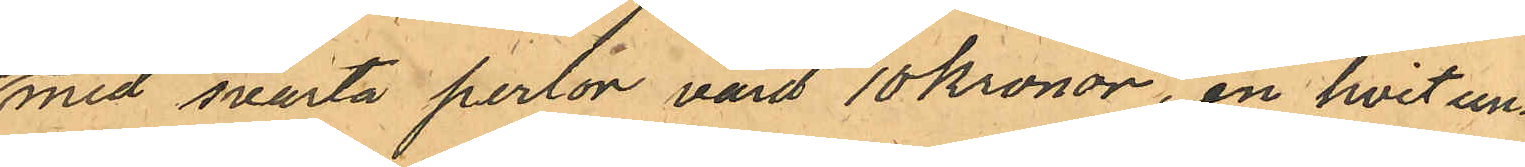med svarta perlor värd 10 kronor, en hvit un¬
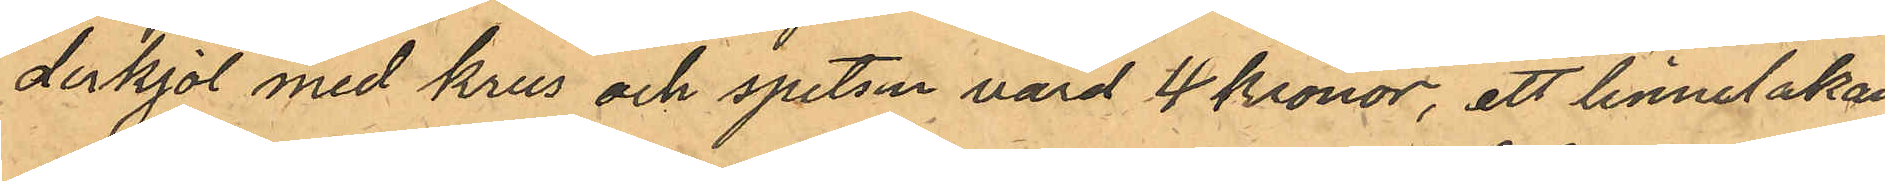derkjol med krus och spetsar värd 4 kronor, ett linnelakan
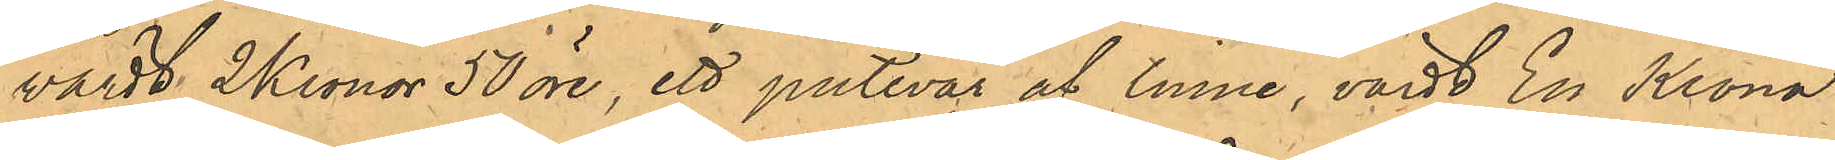värdt 2 Kronor 50 öre, ett putevar af linne, värdt En Krona,
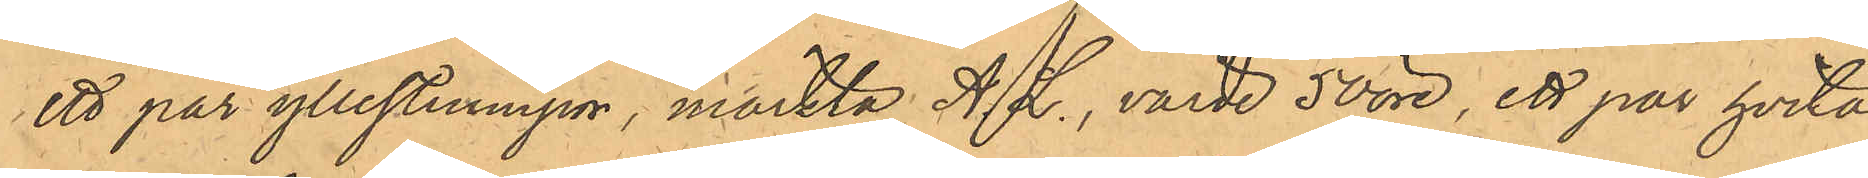ett par yllestrumpor, märkta A. L., värde 50 öre, ett par hvita
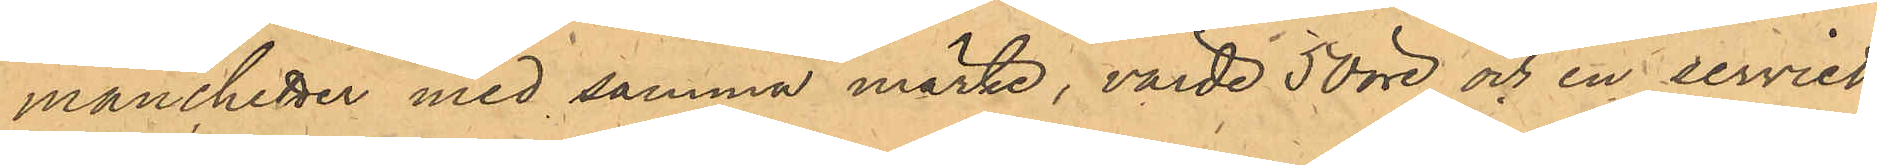manchetter med samma märke, värde 50 öre och en serviett,
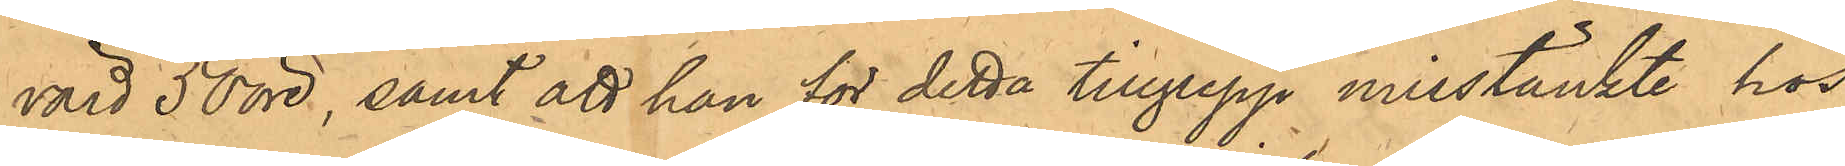värd 50 öre, samt att han för detta tillgrepp misstänkte hos
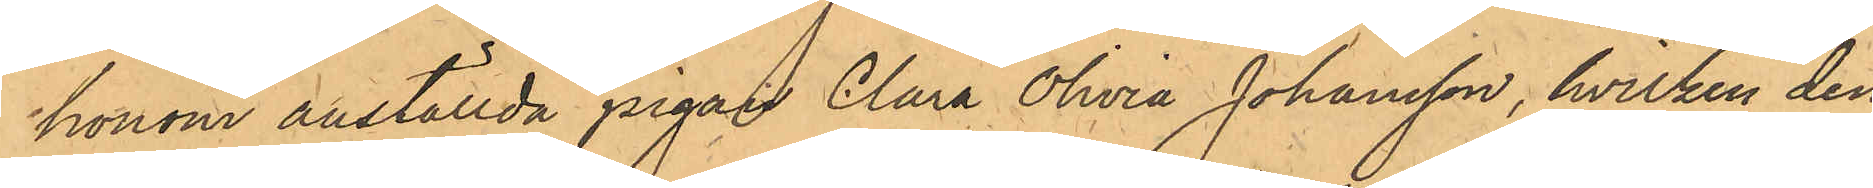honom anställda pigan Clara Olivia Johansson, hvilken den
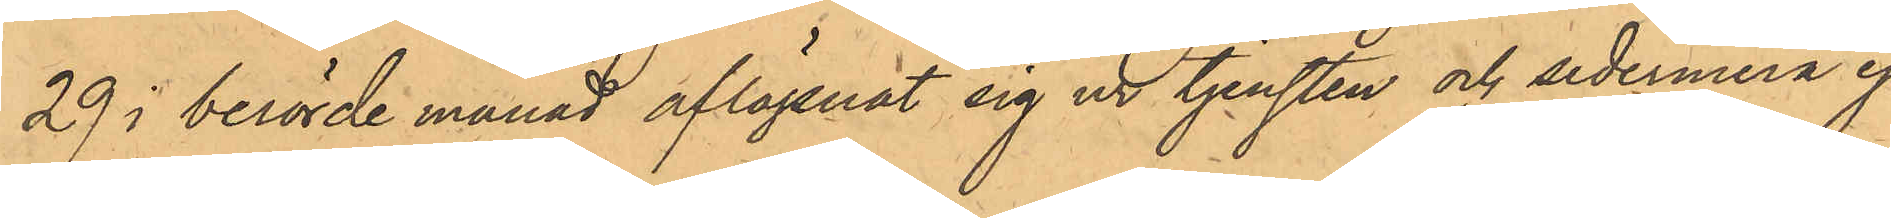29 i berörde månad aflägsnat sig ur tjensten och sedermera ej
